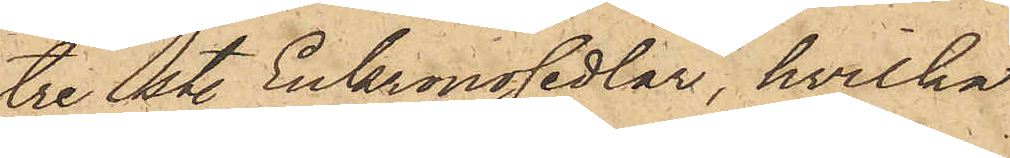tre sty. Enkronosedlar, hvilka
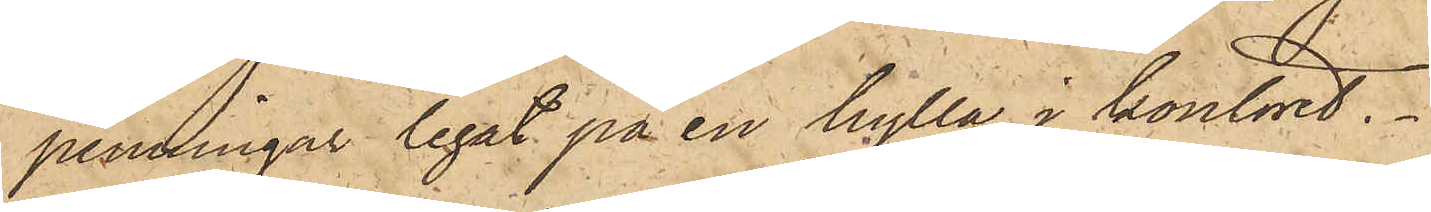penningar legat på en hylla i kontoret.
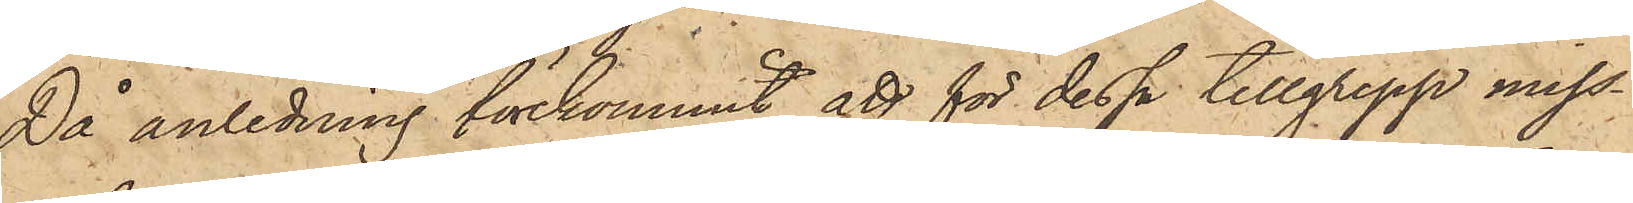Då anledning förekommit att för dessa tillgrepp miss¬
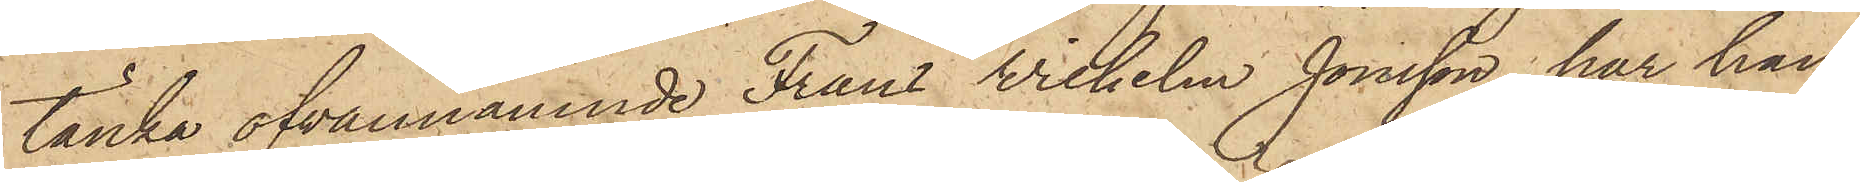tänka ofvannämnde Frans Wilhelm Jonsson, har han
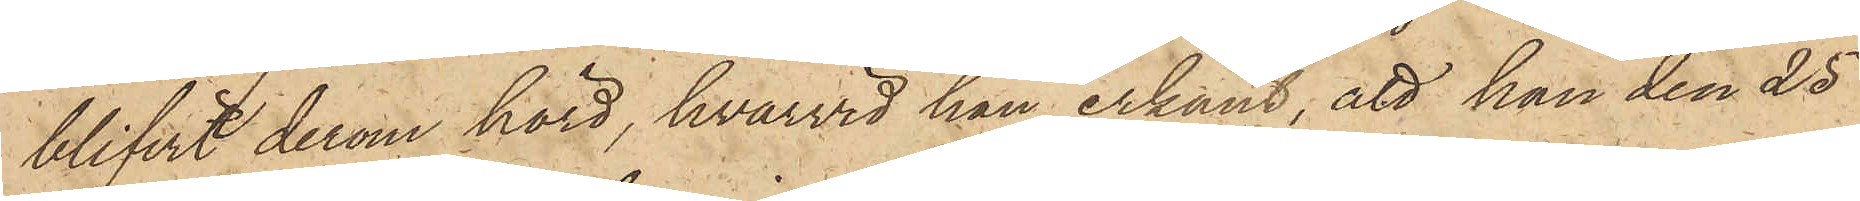blifvit derom hörd, hvarvid han erkänt, att han den 25
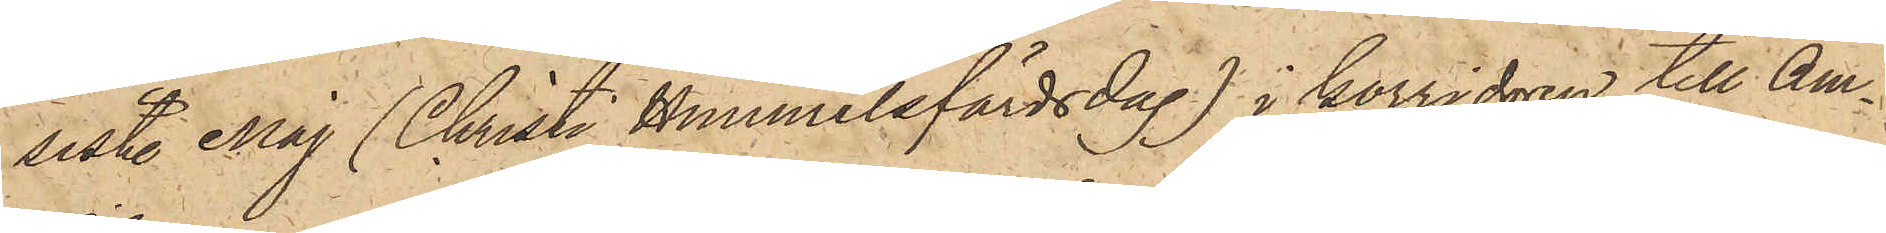sist. Maj (Christi Himmelsfärdsdag) i korridoren till Am¬
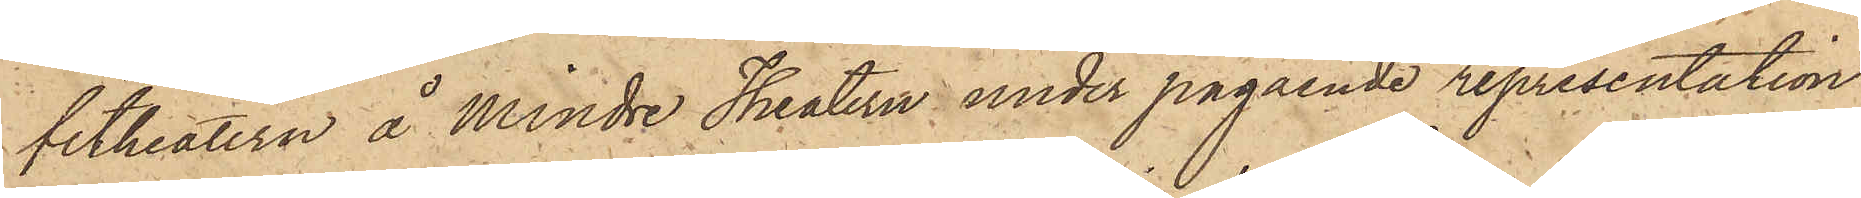fitheatern å Mindre Theatern under pågående representation
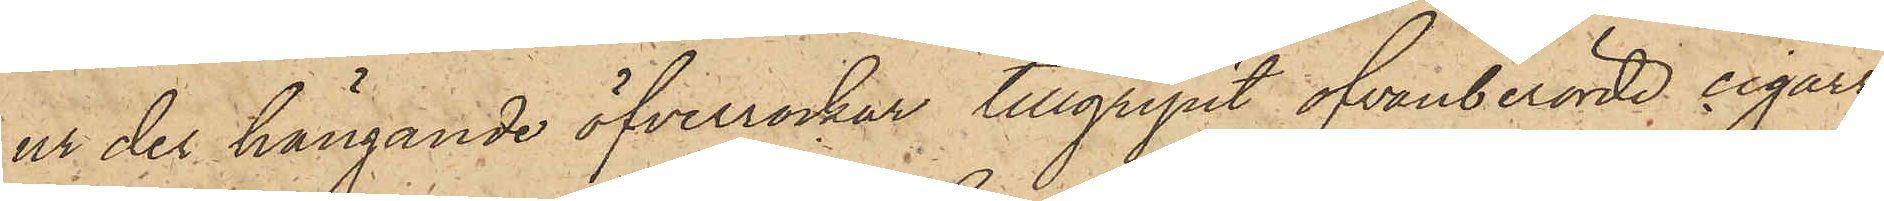ur der hängande öfverrockar tillgripit ofvanberörde cigarr¬
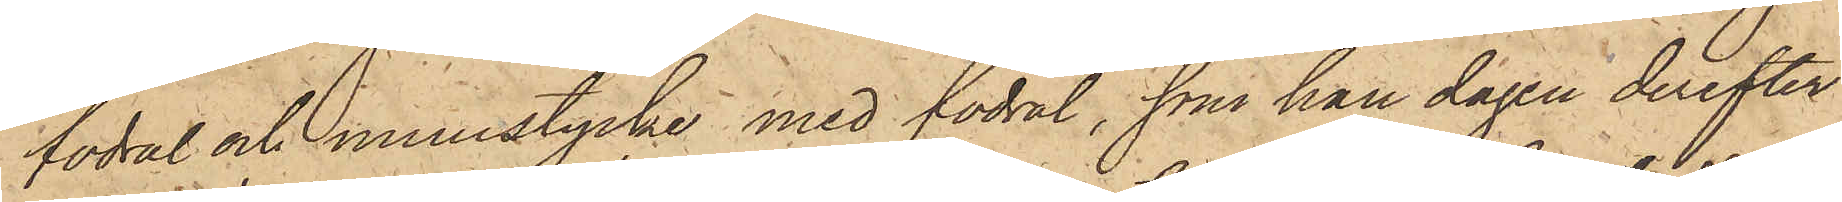fodral och munstycke med fodral, som han dagen derefter
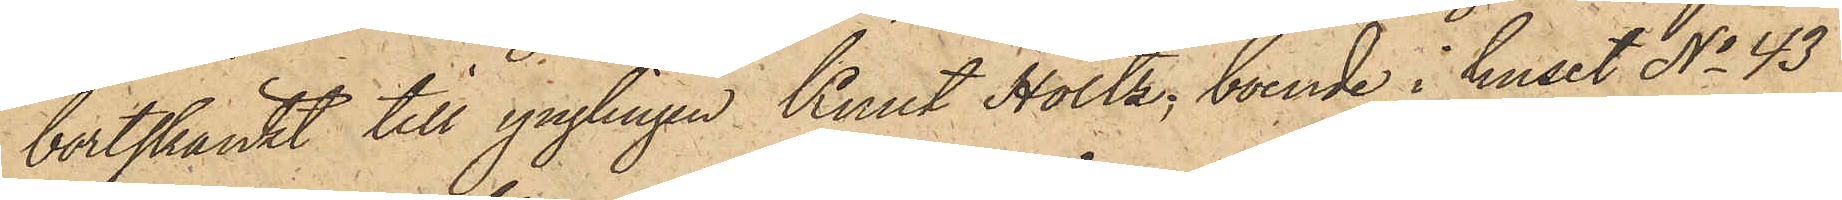bortskänkt till ynglingen Knut Holtz, boende i huset No 43
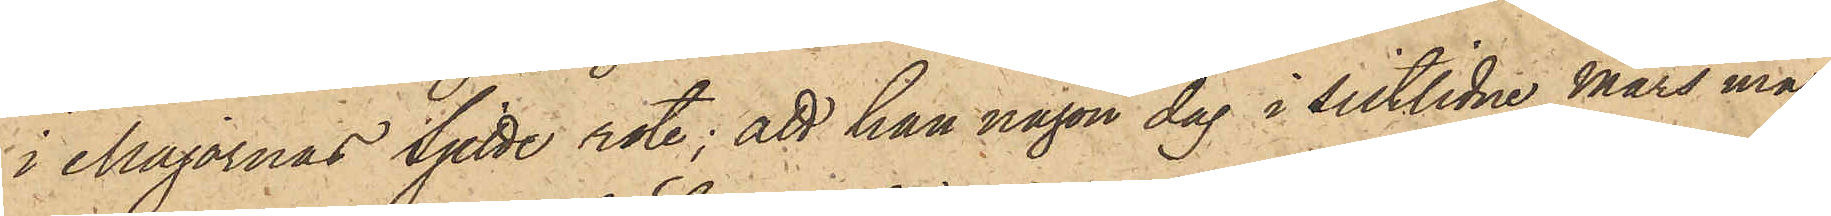i Majornas Sjette rote; att han någon dag i sistlidne Mars må¬
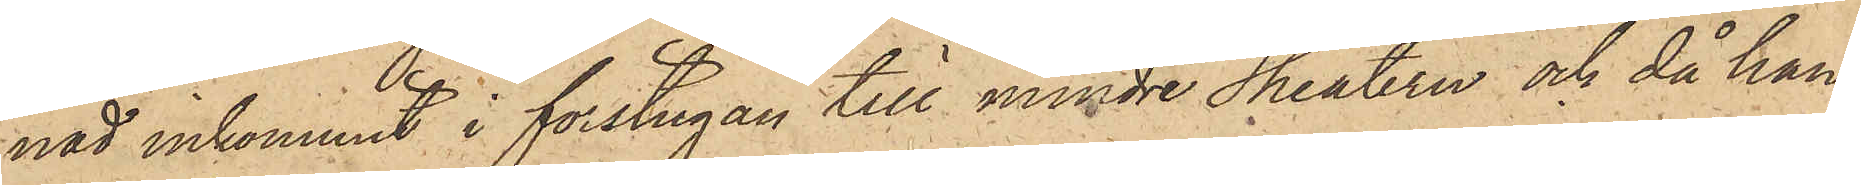nad inkommit i förstugan till Mindre Theatern och då han
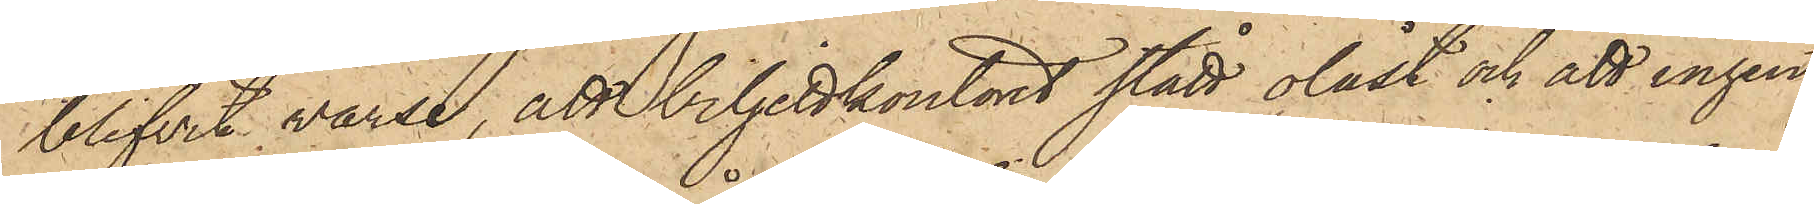blifvit varse, att biljettkontoret stått olåst och att ingen
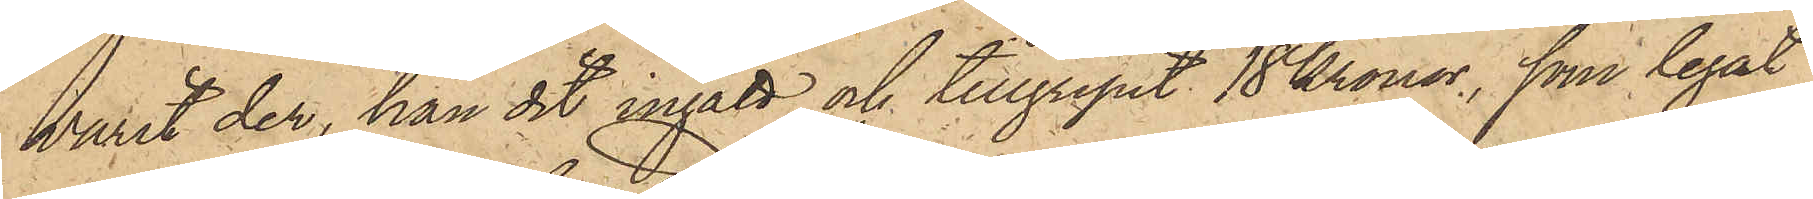varit der, han dit ingått och tillgripit 18 Kronor, som legat
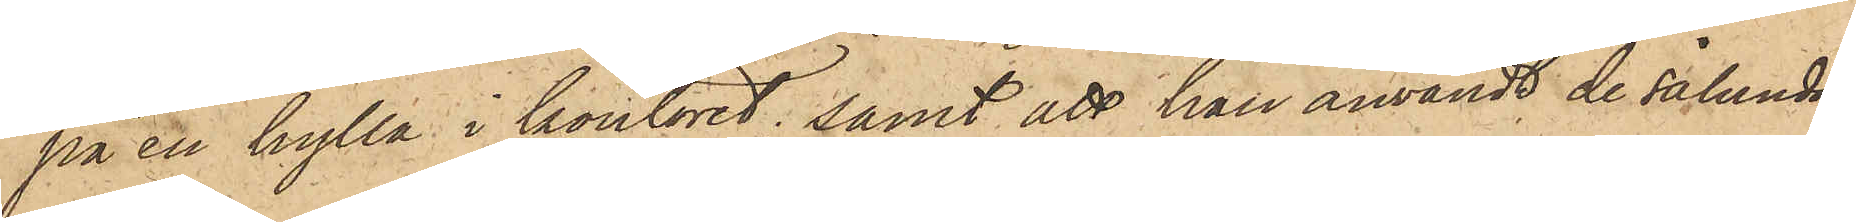på en hylla i kontoret; samt att han användt de sålunda
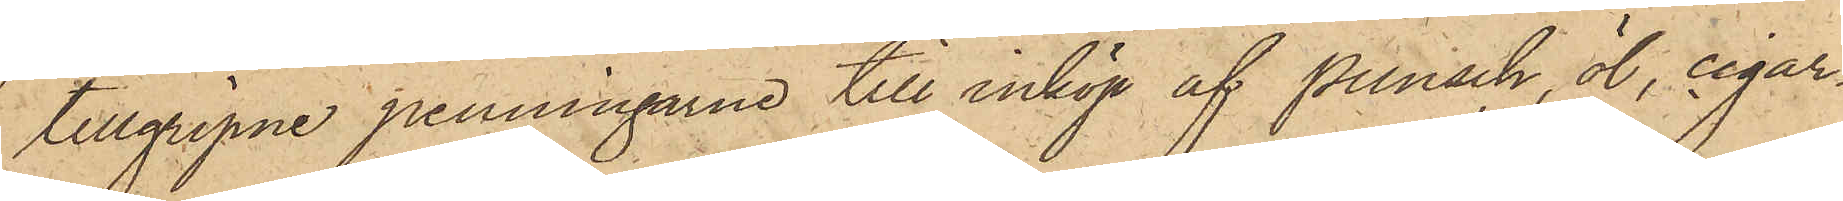tillgripne penningarne till inköp af punsch, öl, cigar¬
